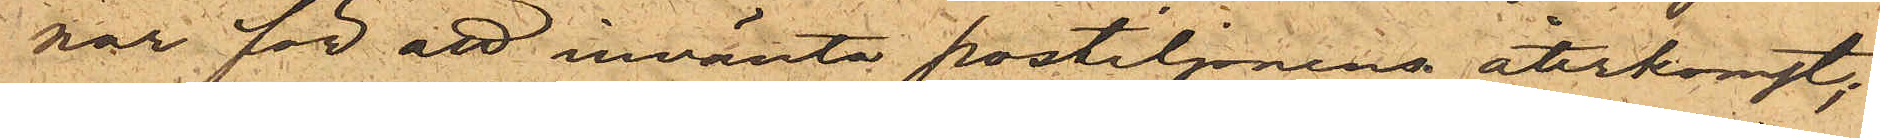nar för att invänta postiljonens återkomst;
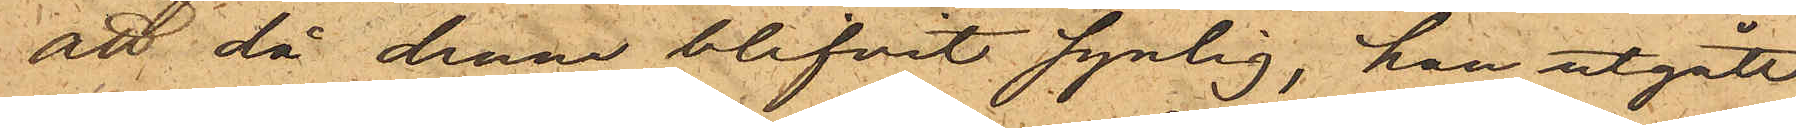att då denna blifvit synlig, han utgått
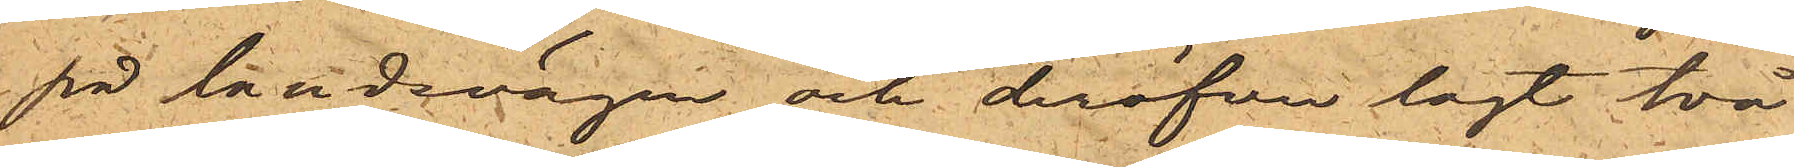på landsvägen och deröfver lagt två
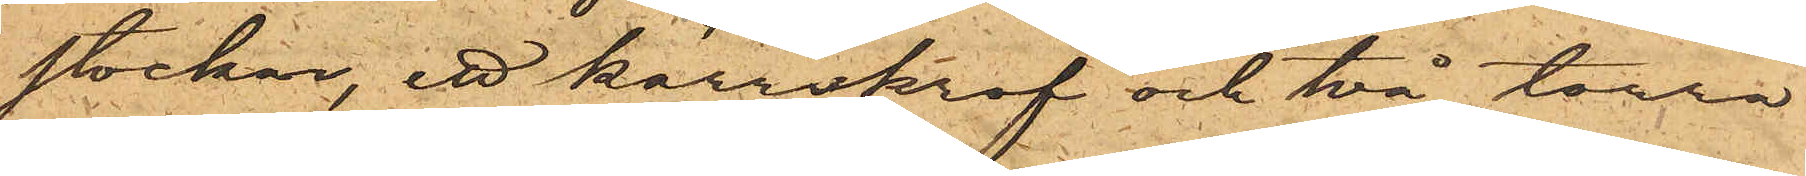stockar,  ett kärrskrof och två torra
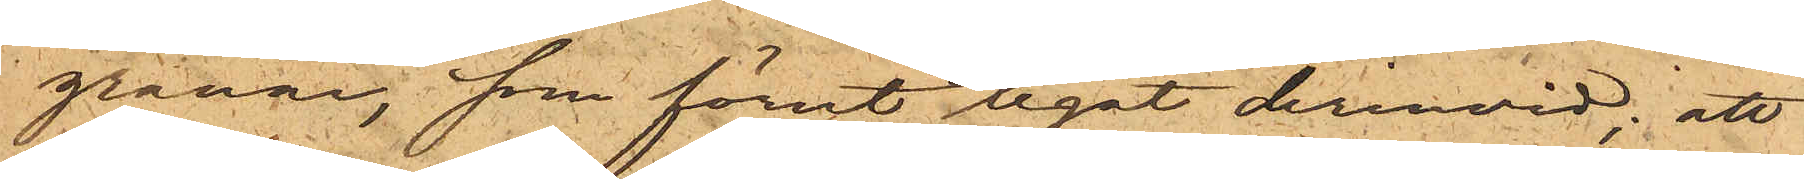grenar, som förut legat derinvid; att
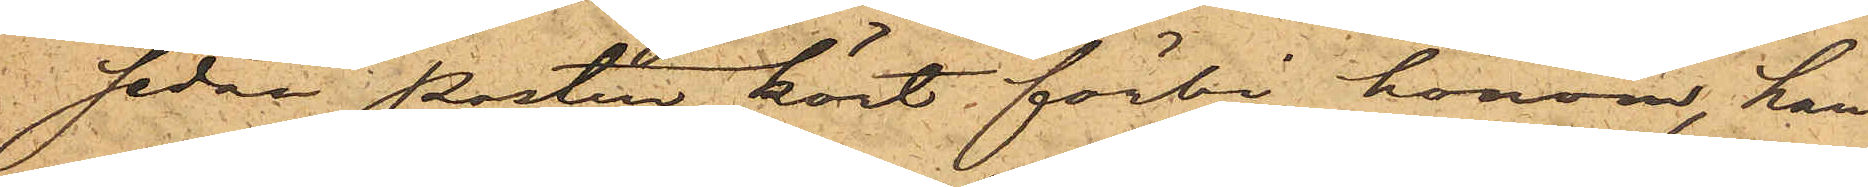sedan Posten kört förbi honom, han
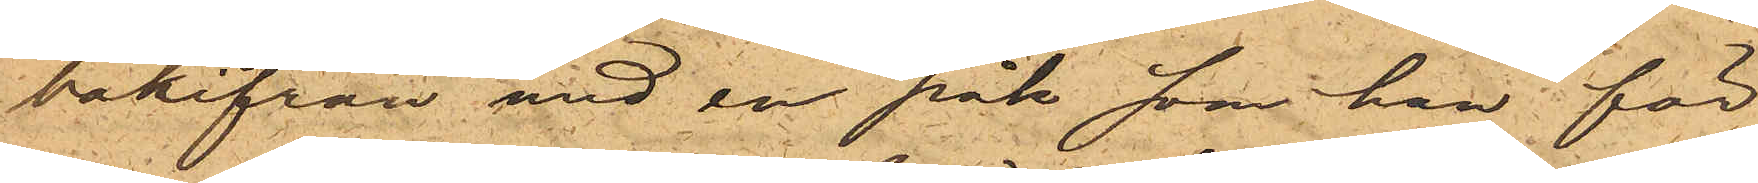bakifrån med en påk som han för
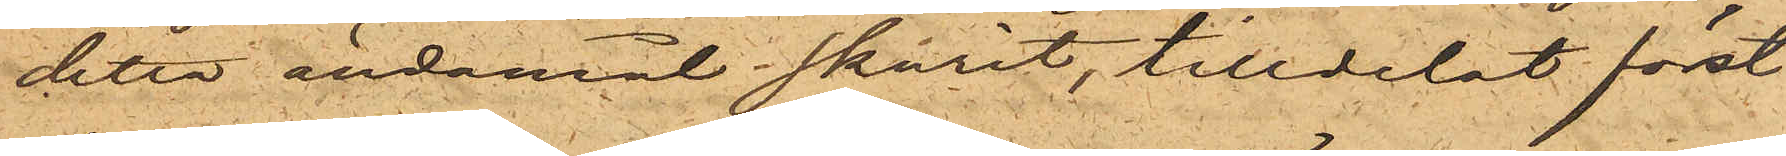detta ändamål skurit, tilldelat först
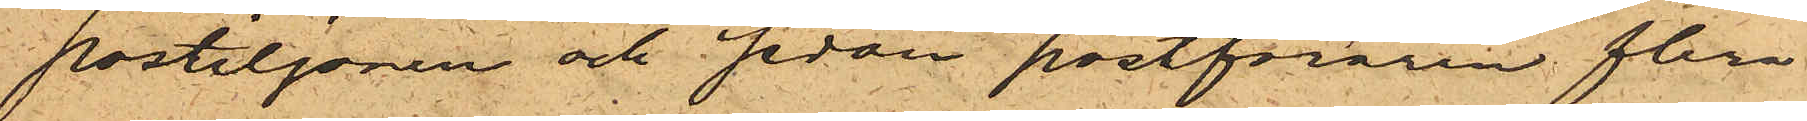postiljonen och sedan postföraren flera
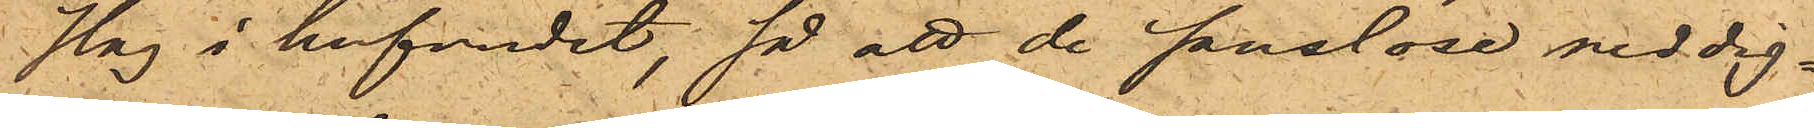slag i hufvudet, så att de sanslöse neddig¬
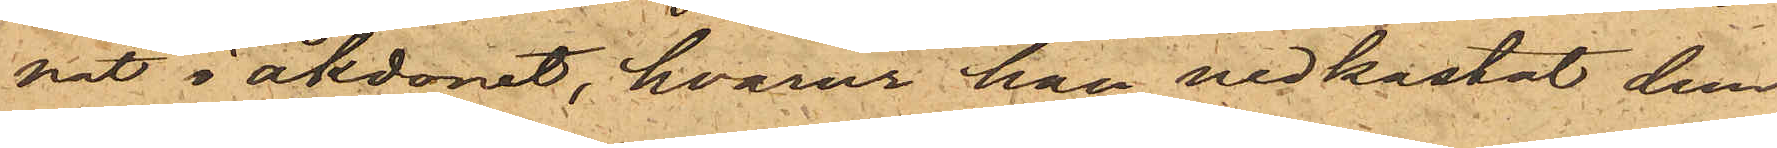nat i åkdonet, hvarur han nedkastat dem
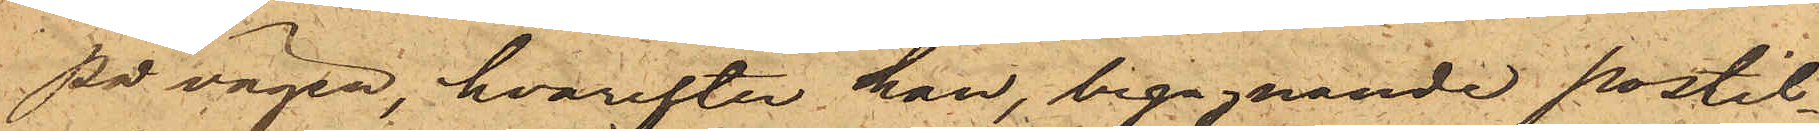på vägen, hvarefter han, begagnande postil¬
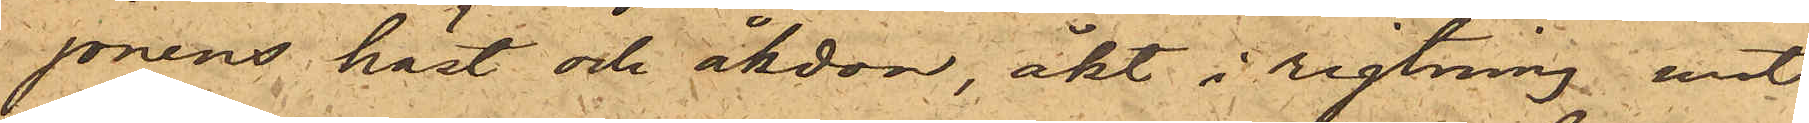jonens häst och åkdon, åkt i riktning mot
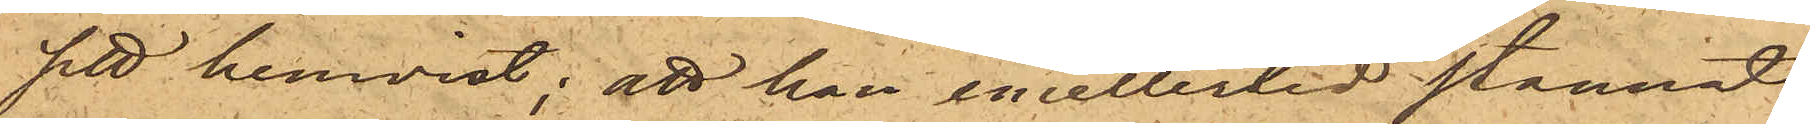sitt hemvist; att han emellertid stannat
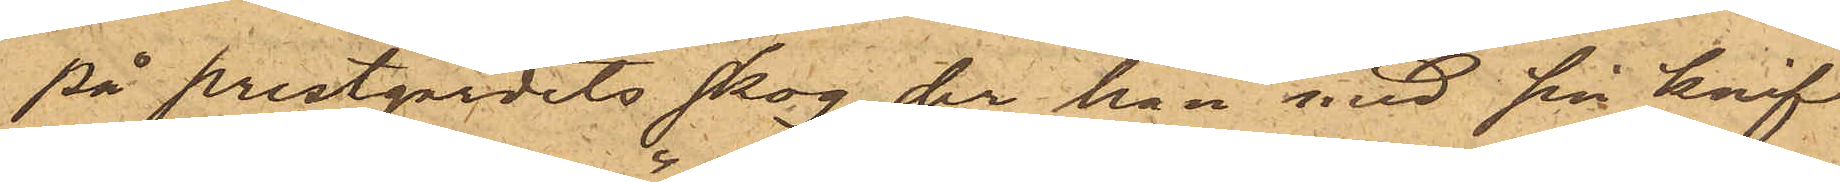på prestgärdets skog der han med sin knif
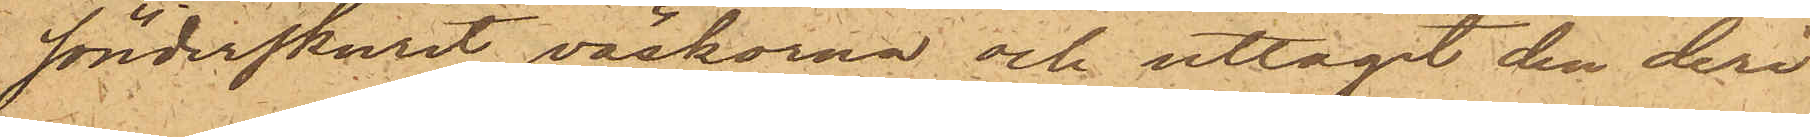sönderskurit väskorna och uttagit den deri
